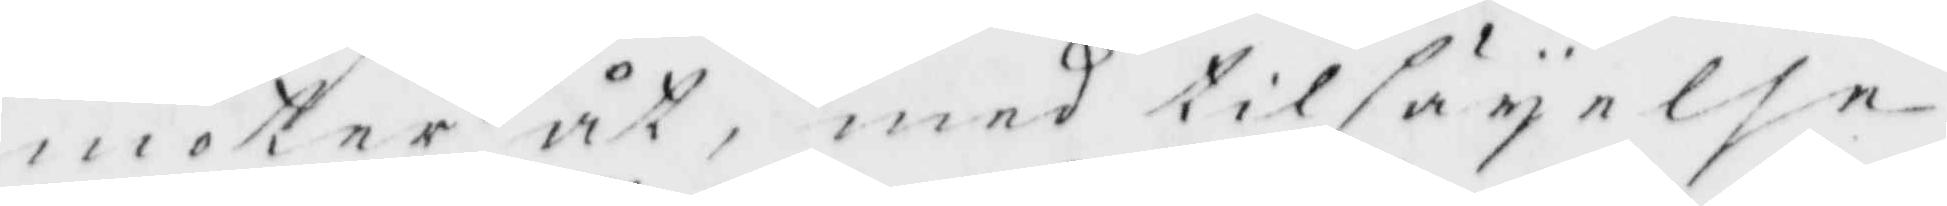möter åt, med tilsäyelse
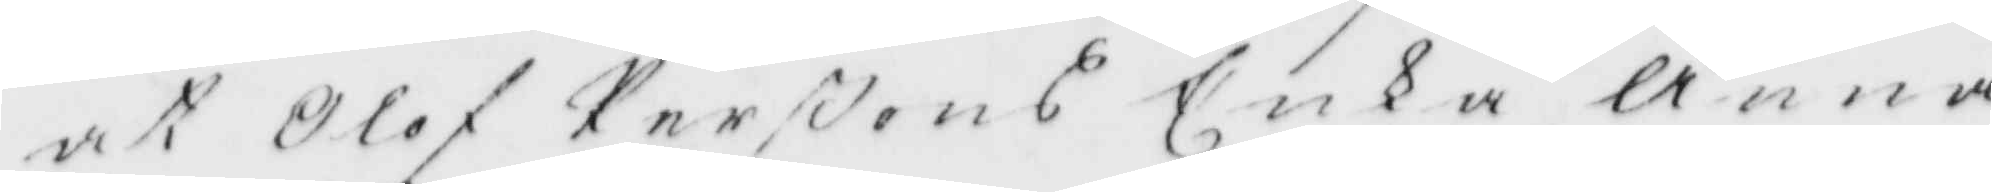at Olof Perßons Enka Anna
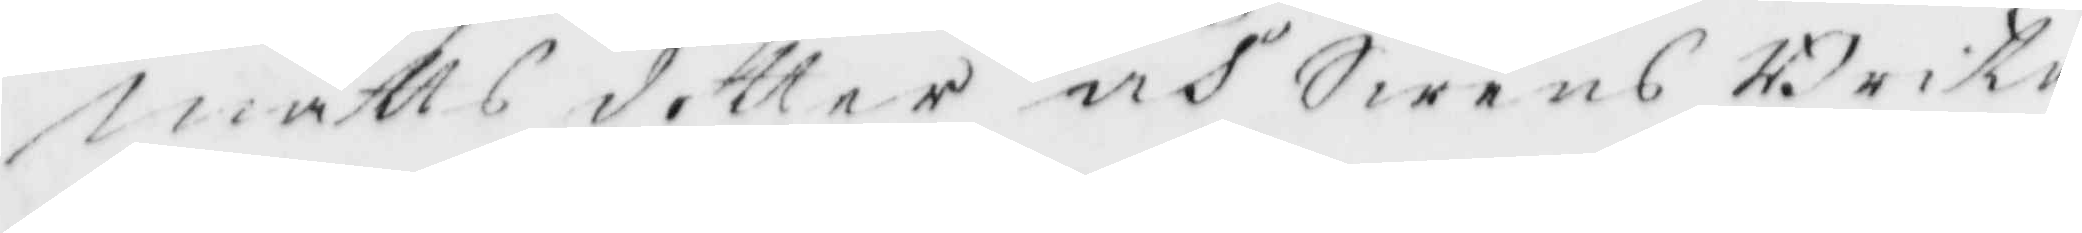matts dotter och Swens Brita
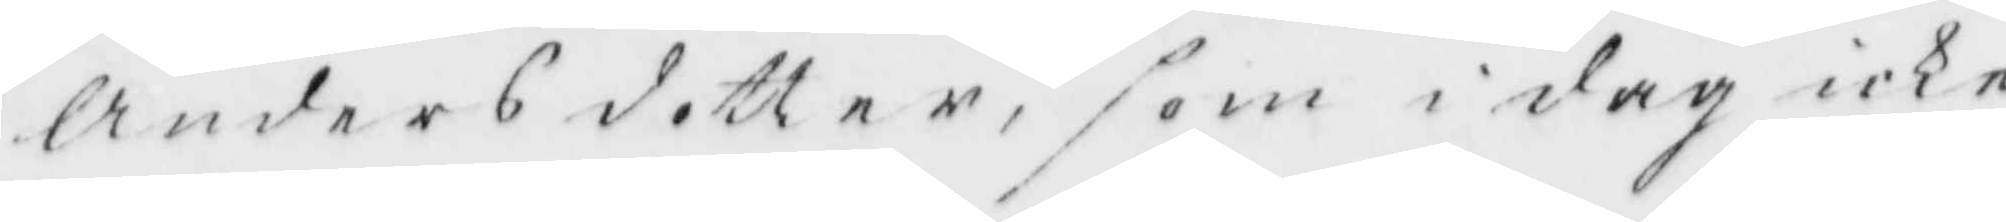Anders dotter, som idag icke
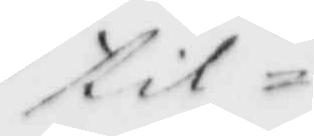til¬
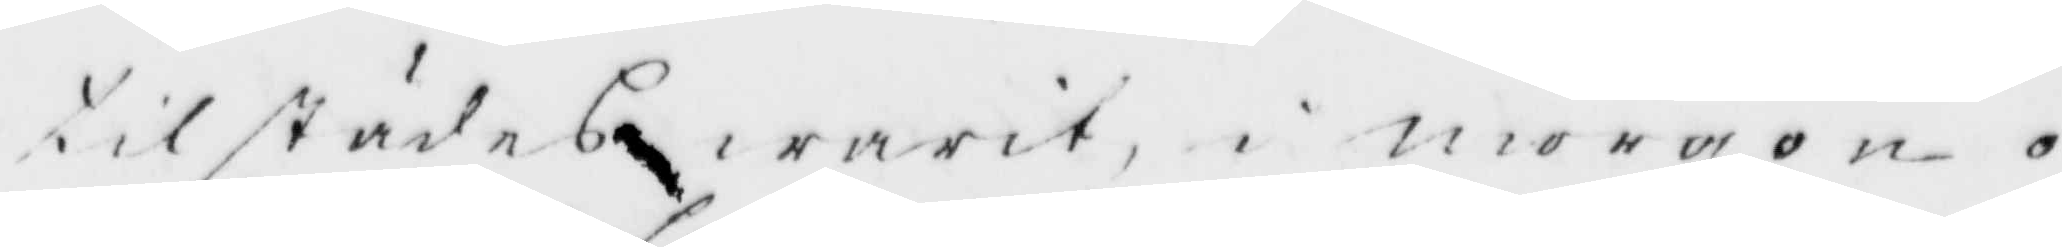tilstädes warit i morgon o¬
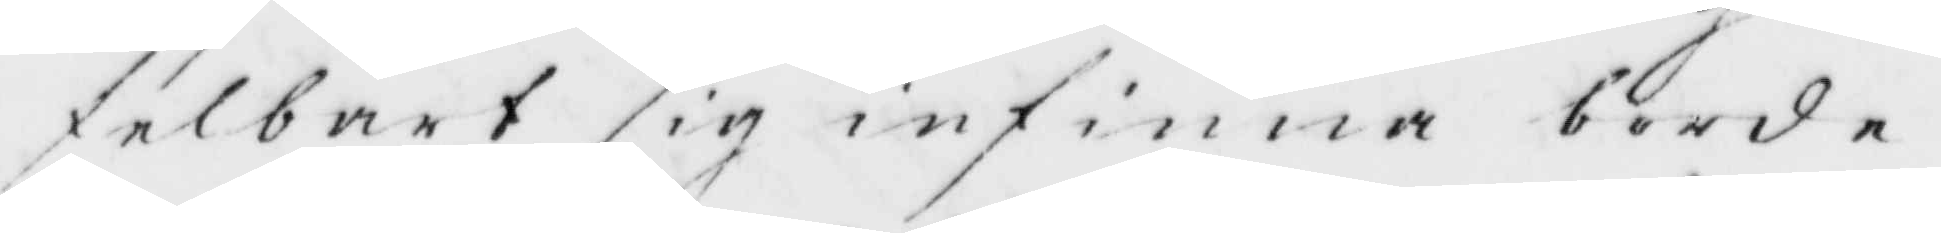felbart sig infinna borde.
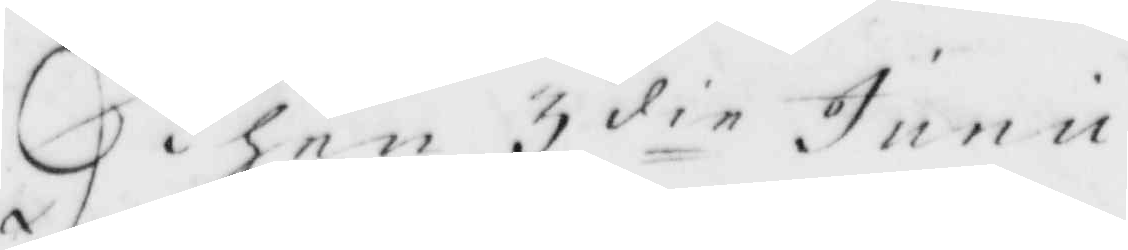Then 3 die Junu
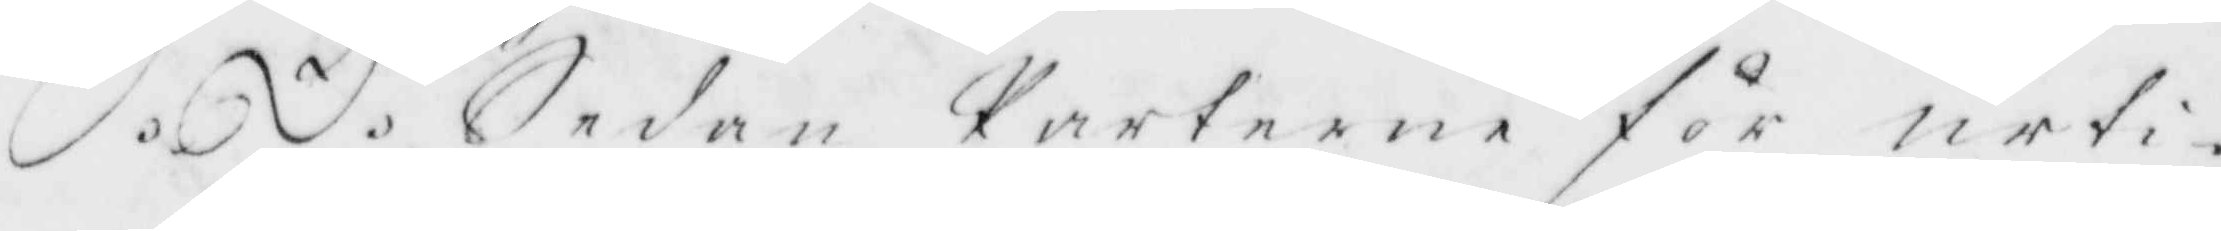S.D. Sedan Parterne för urti¬
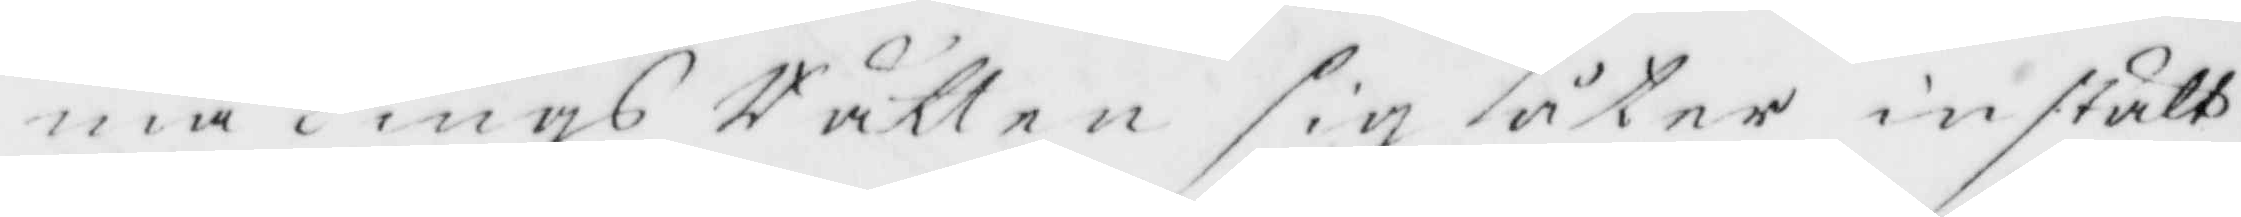ma Tings Rätten sig åter instält
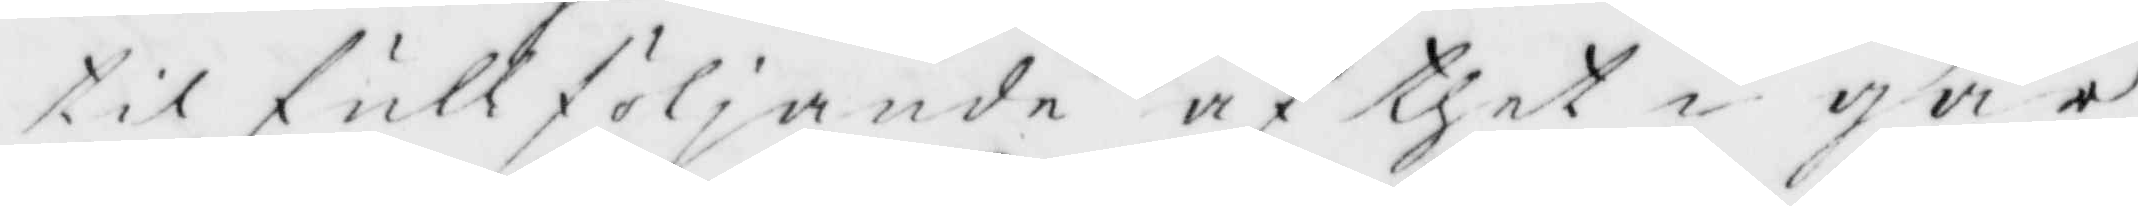til fullföljande af thet i går
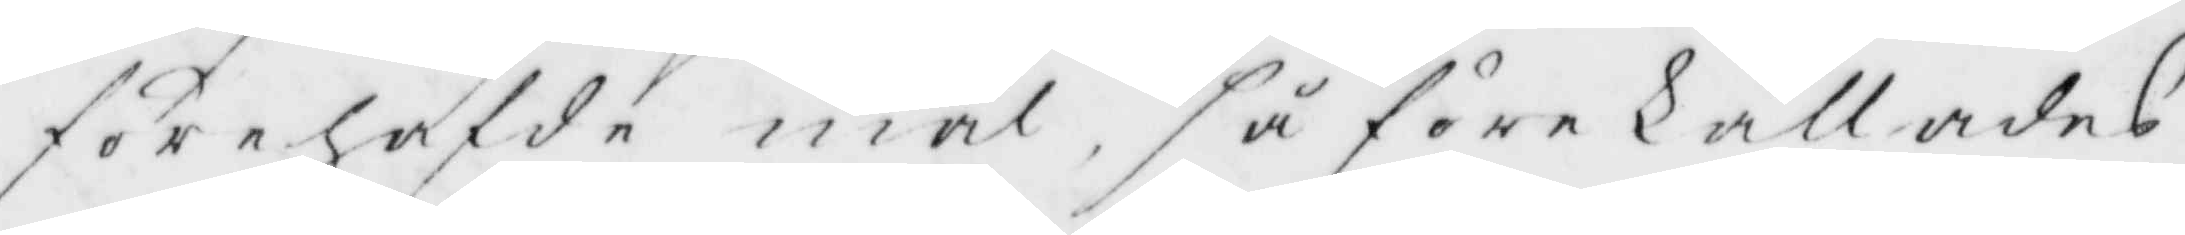förehafde mål, så förekallades
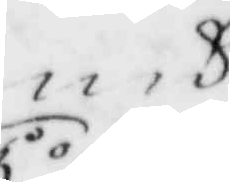och
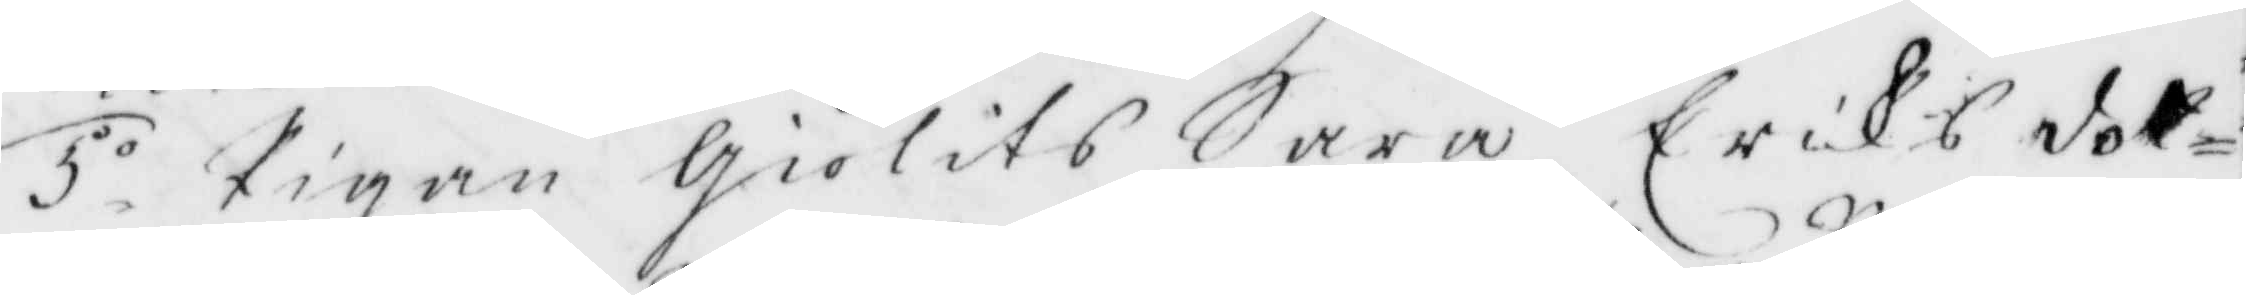5.o Pigan Giölits Sara Eriksdot¬
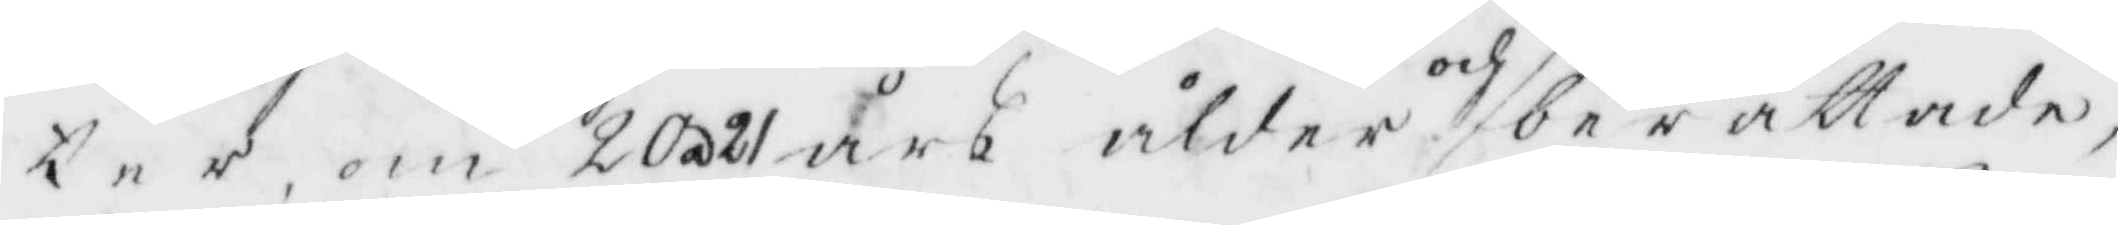ter, om 20 a 21 års ålder och berättade,
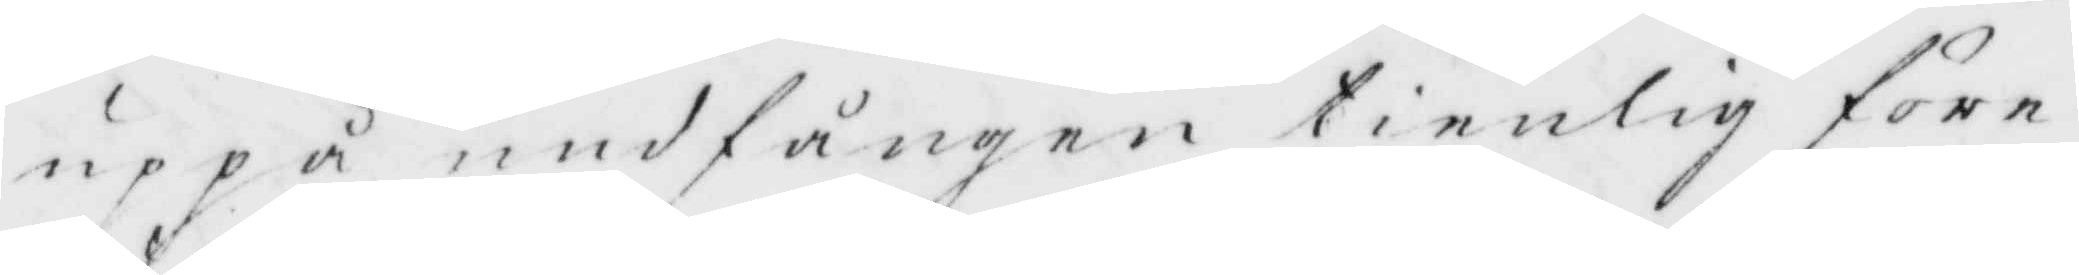uppå undfången tienlig före¬
